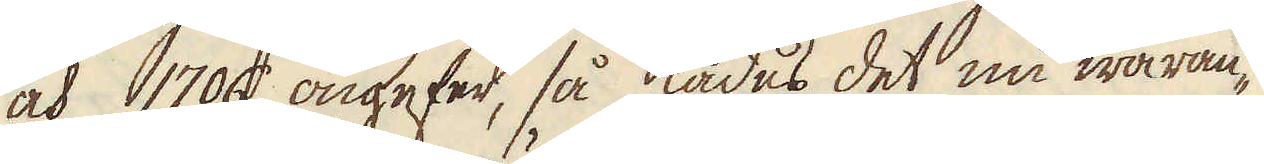och 1706 ongefer, så lades det nu waran-
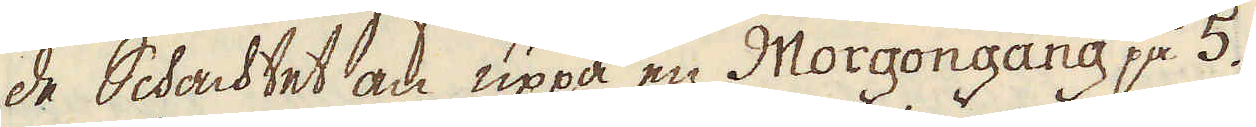de Schachtet an uppå en Morgongång på 5.
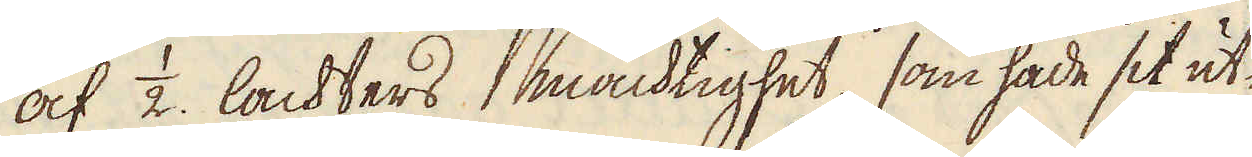af 1/2. lackters mächtighet, som hade sit ut-
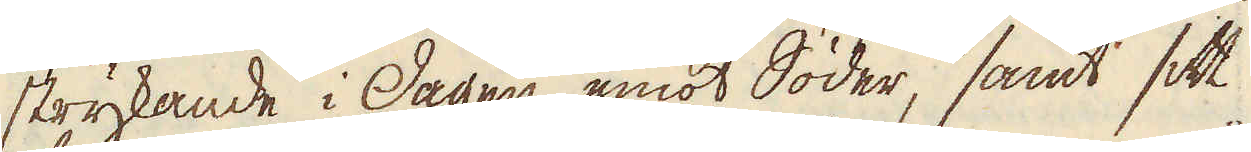strykande i dagen emot Söder, samt sitt
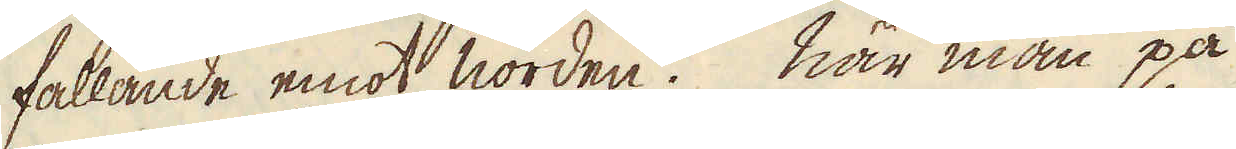fallande emot norden. När man på
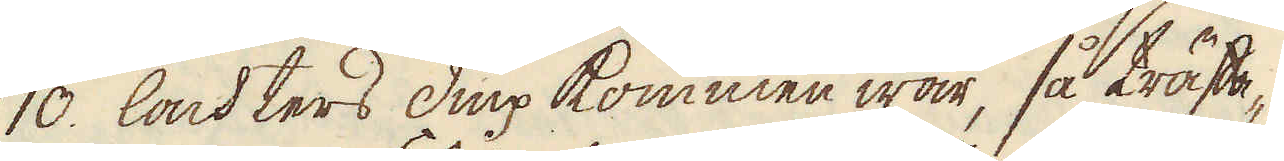10. lachters diup kommen war, så träffa-
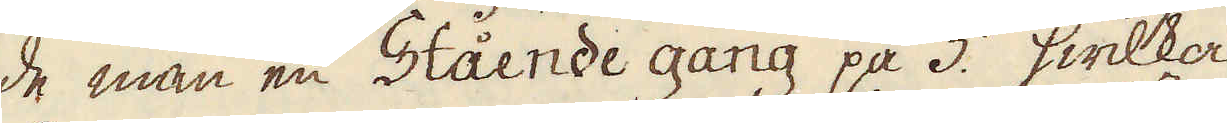de man en Stående gång på 3. hwilka
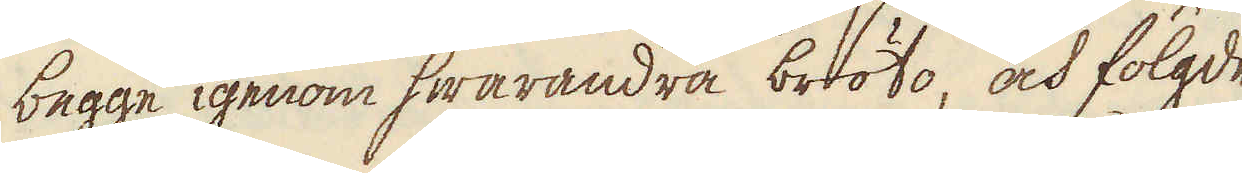begge igenom hwarandra bröto, och fölgde
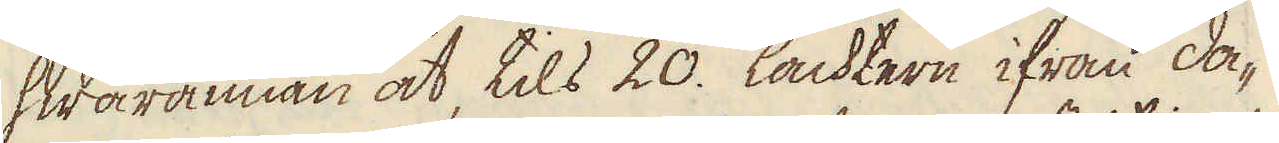hwarannan åt, tils 20. lachtern ifrån da-
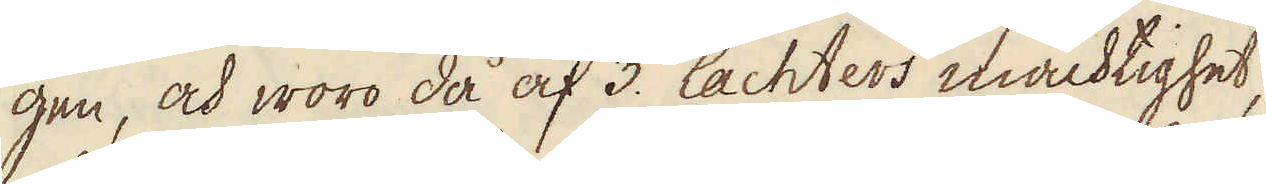gen, och woro då af 3. lachters mächtighet,
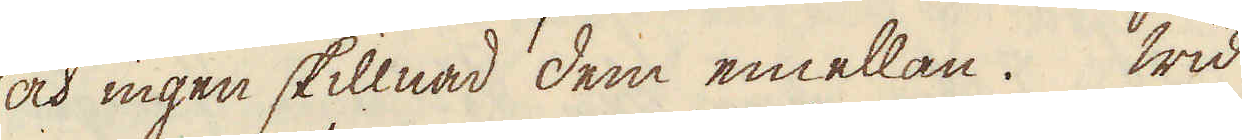och ingen skillnad dem emellan. Wid
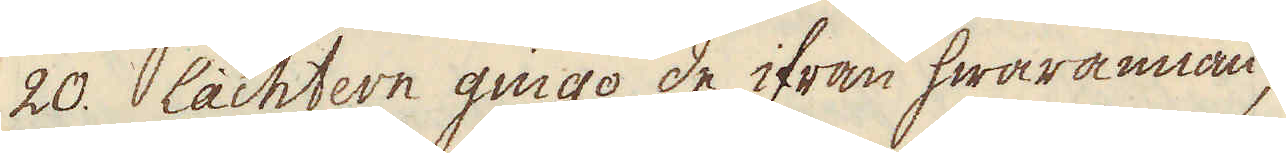20. lachtern gingo de ifrån hwarannan,
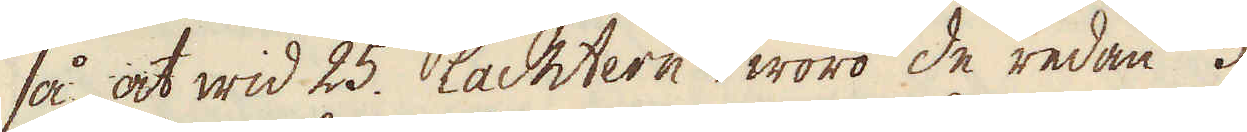så at wid 25. lachtern woro de redan 3.
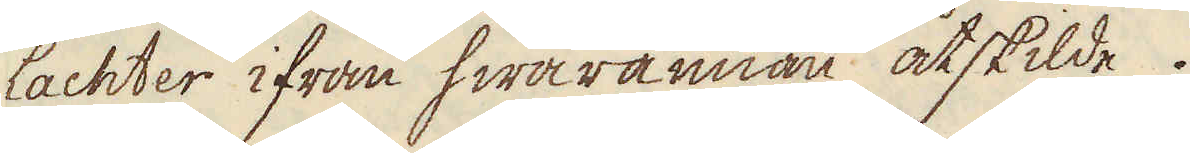lachter ifrån hwarannan åtskilde.
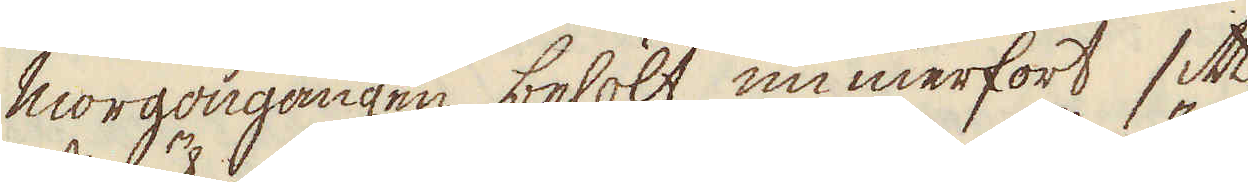Morgongången behölt immerfort sitt
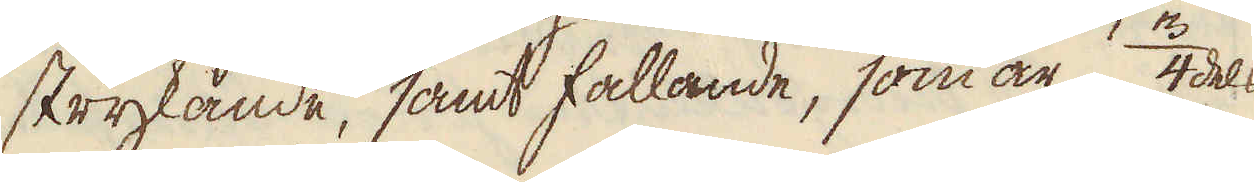strykande, samt fallande, som är 3/4dels
